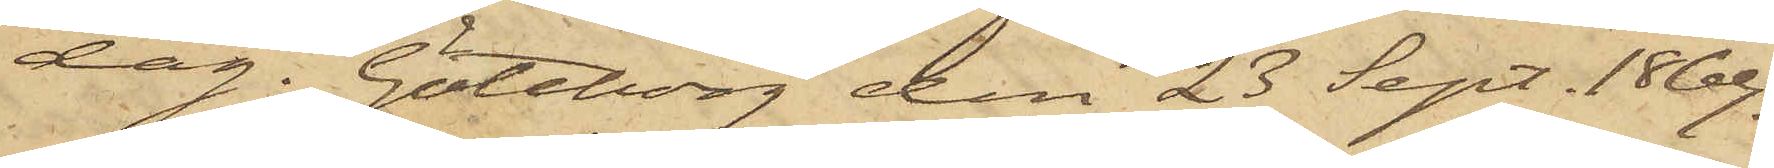dag. Göteborg den 23 Sept. 1869.
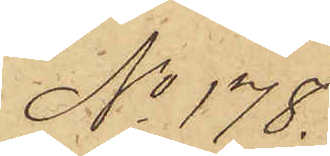No 178.
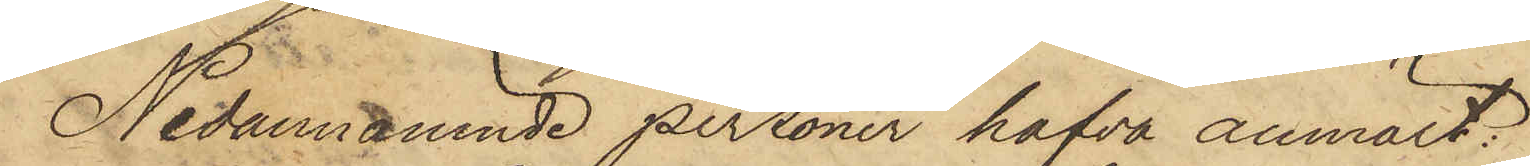Nedannämnde personer hafva anmält:
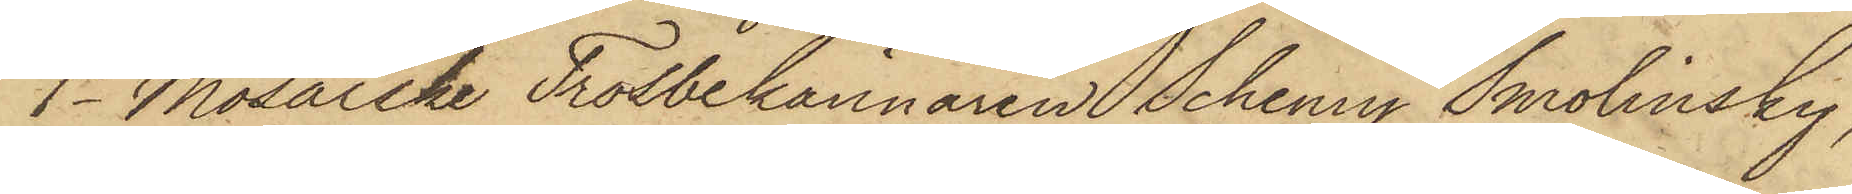1o Mosaiske Trosbekännaren Schemy Smolinsky,
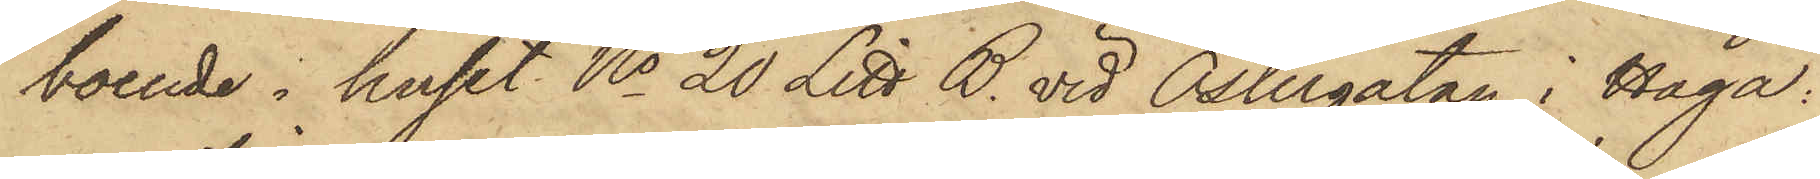boende i huset No 20 Litt B. vid Östergatan i Haga:
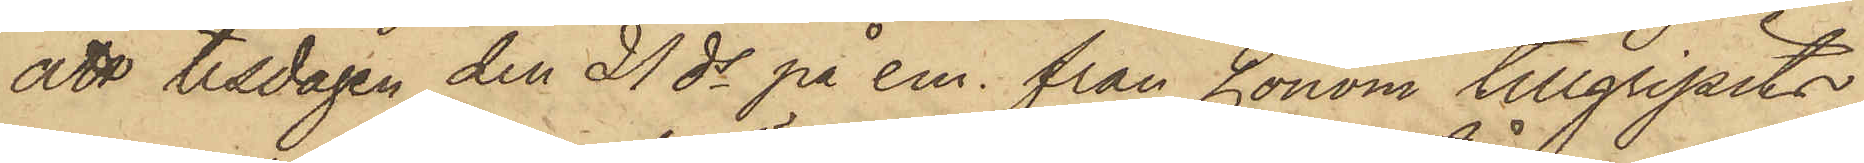att tisdagen den 21 ds på em. från honom tillgripits
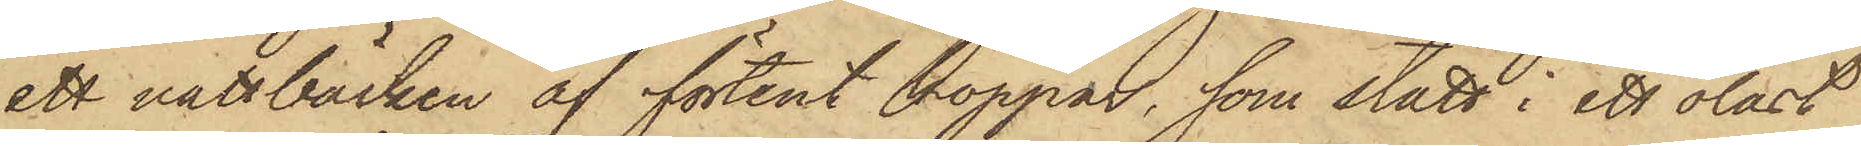ett nattbäcken af förtent koppar, som stått i ett olåst
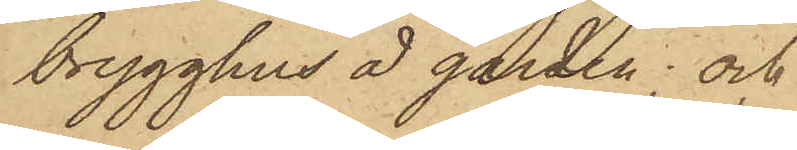brygghus å gården; och
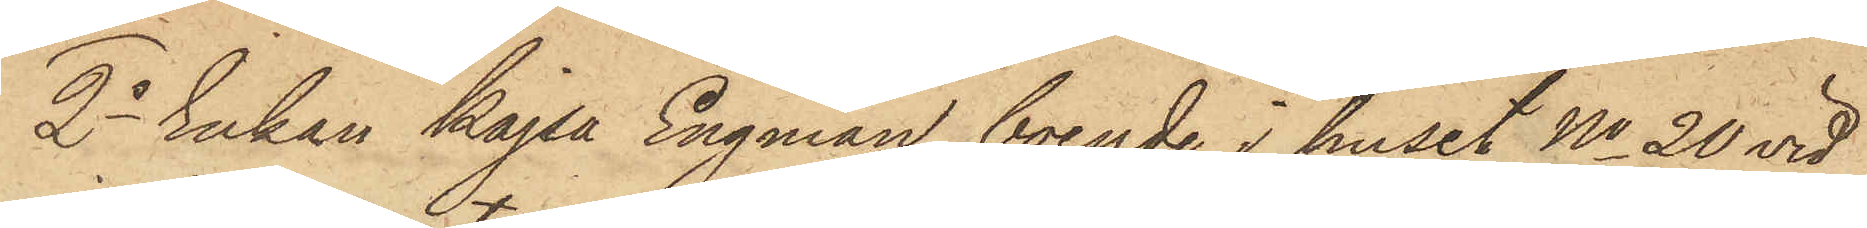2o Enkan Kajsa Engman, boende i huset No 20 vid
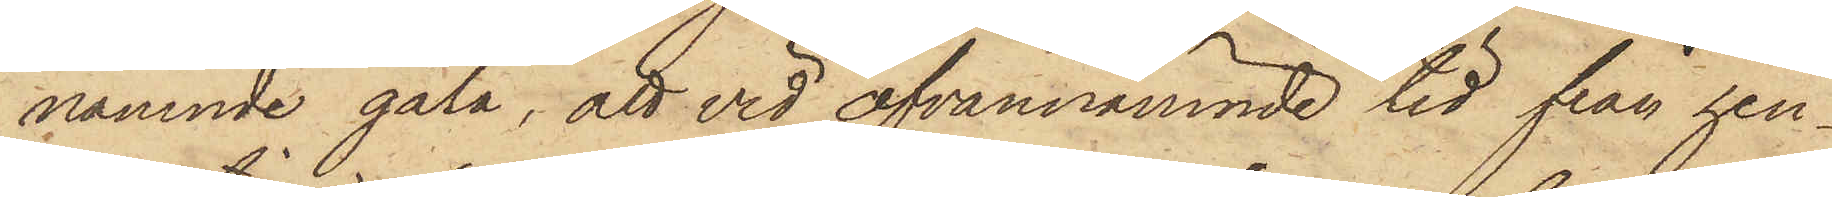nämnde gata, att vid ofvannämnde tid från hen¬
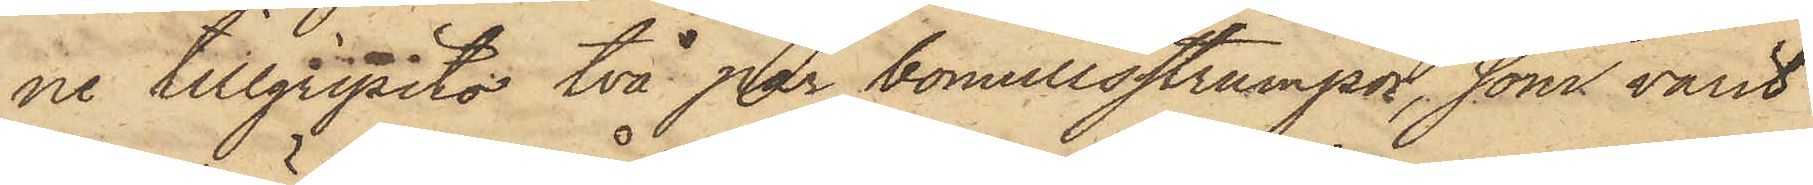ne tillgripits två par bomullsstrumpor, sam varit
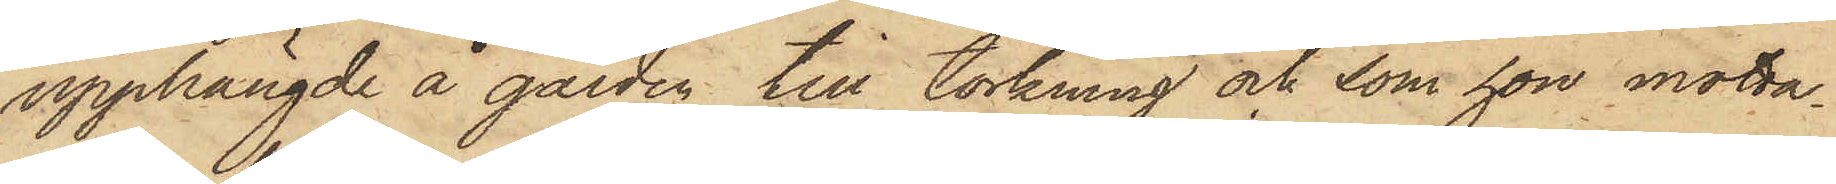upphängde å gården till torkning och som hon motta¬
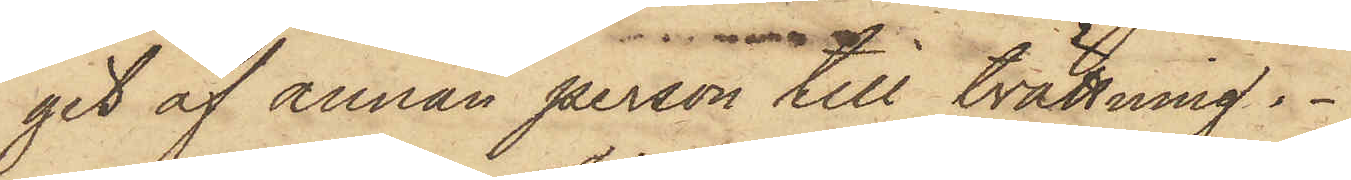git af annan person till tvättning.
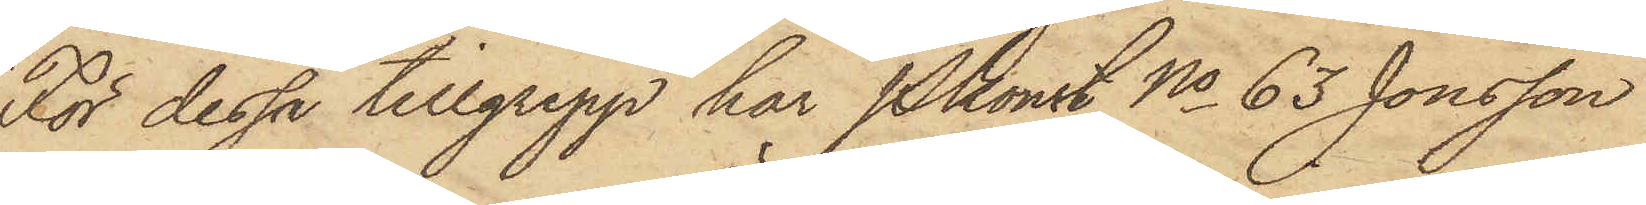För dessa tillgrepp har Pkonst No 63 Jonsson
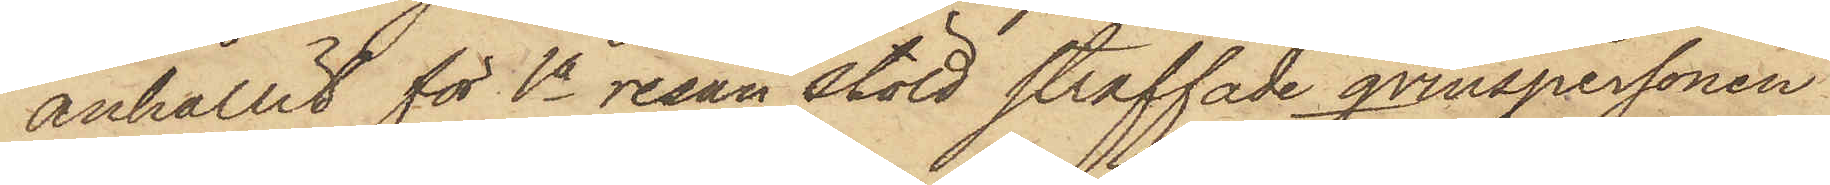anhållit för 1a resan stöld straffade qvinspersonen
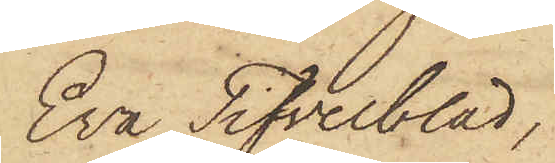Eva Tifvelblad,
